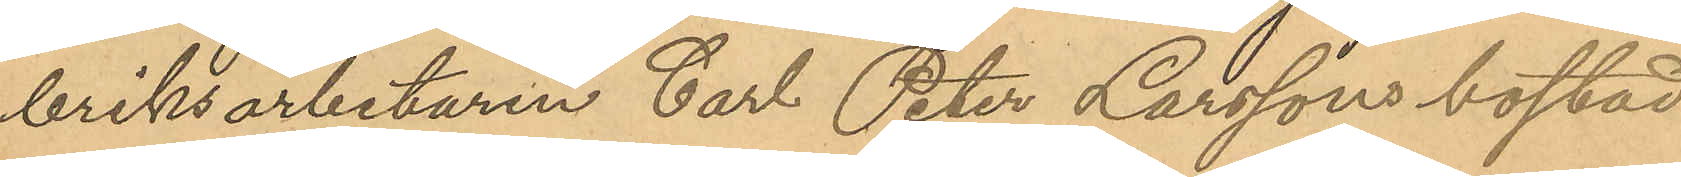briksarbetaren Carl Peter Larssons bostad
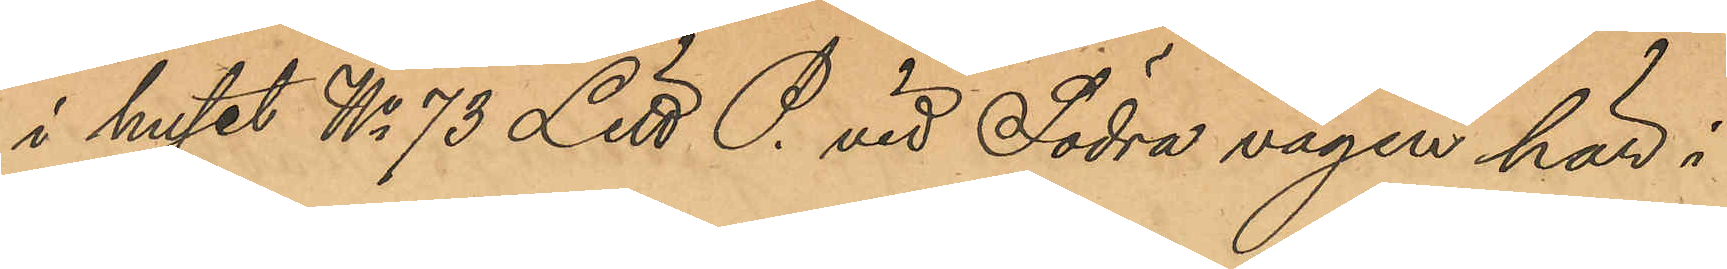i huset No 73 Litt P. vid Södra vägen här i
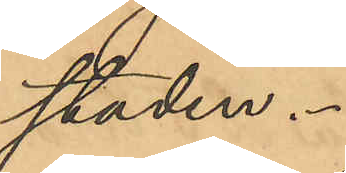staden.
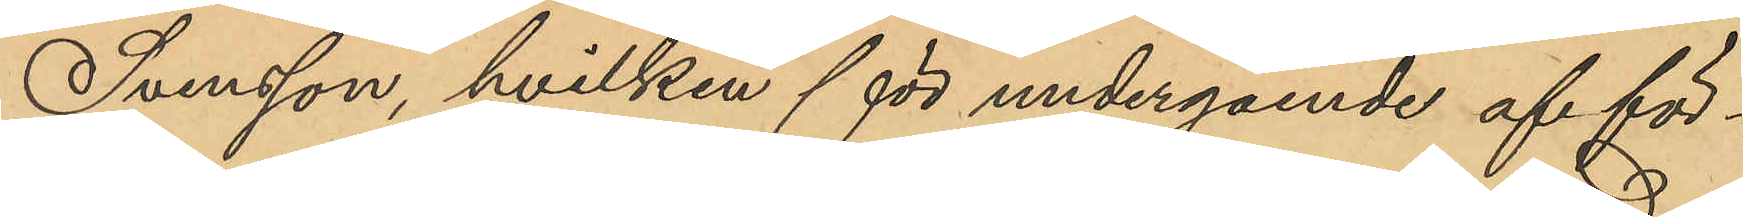Svensson, hvilken för undergående af för¬
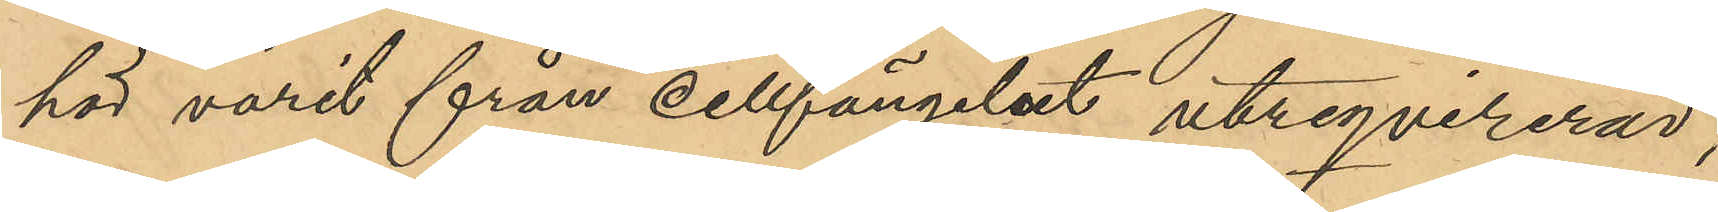hör varit från cellfängelset utreqvirerad,
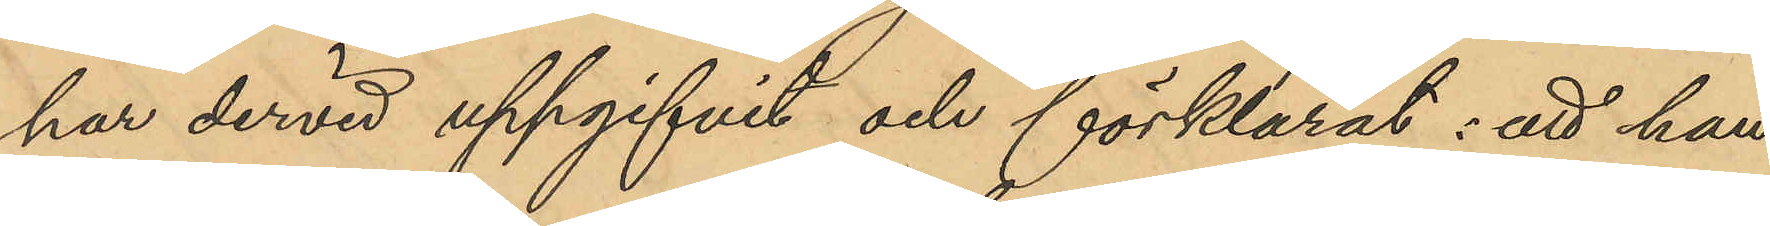har dervid uppgifvit och förklarat: att han
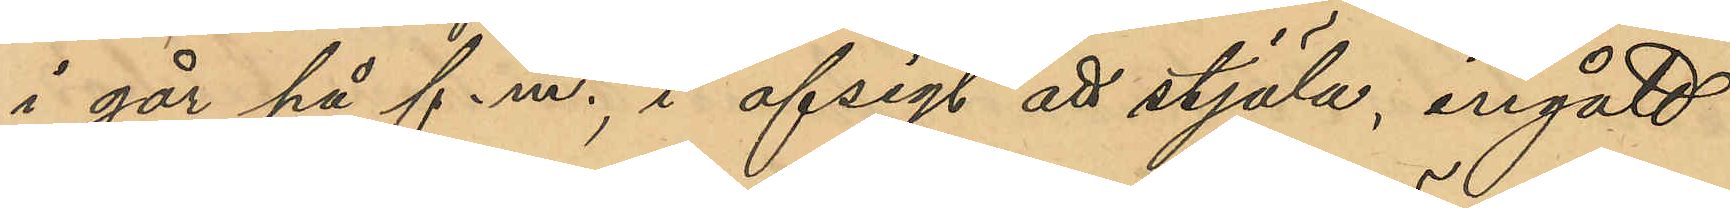i går på f.m., i afsigt att stjäla, ingått
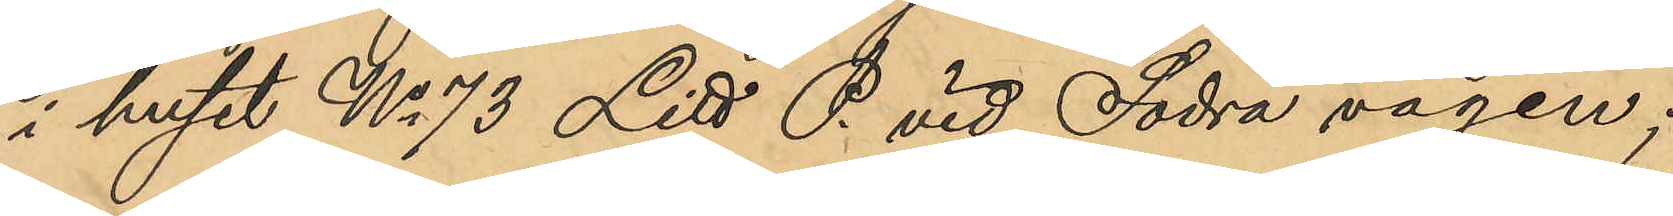i huset No 73 Litt. P vid Södra vägen;
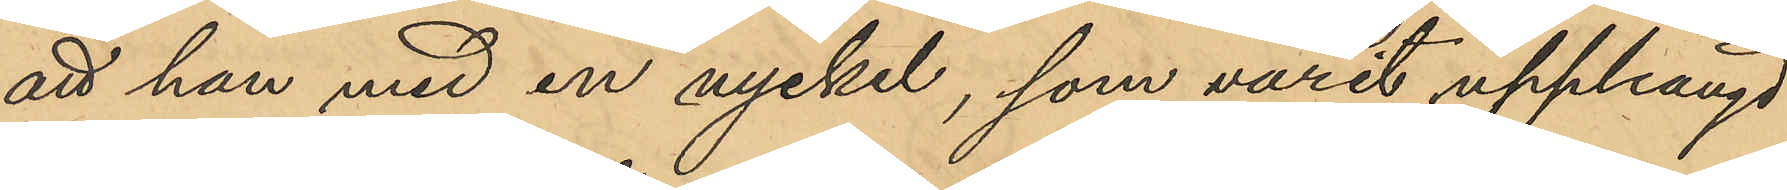att han med en nyckel, som varit upphängd
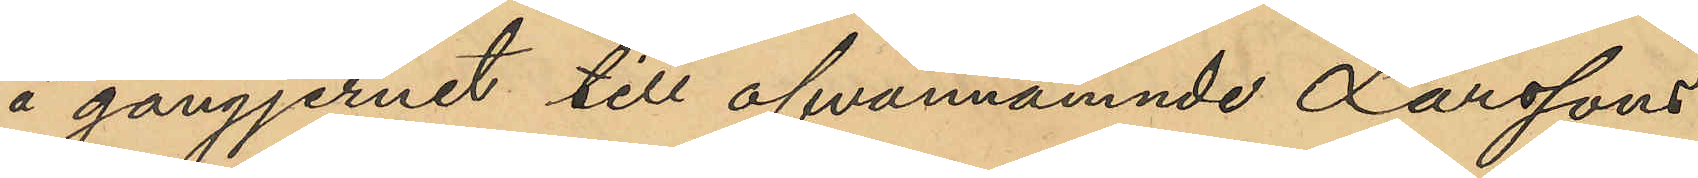å gångjernet till ofvannämnde Larssons
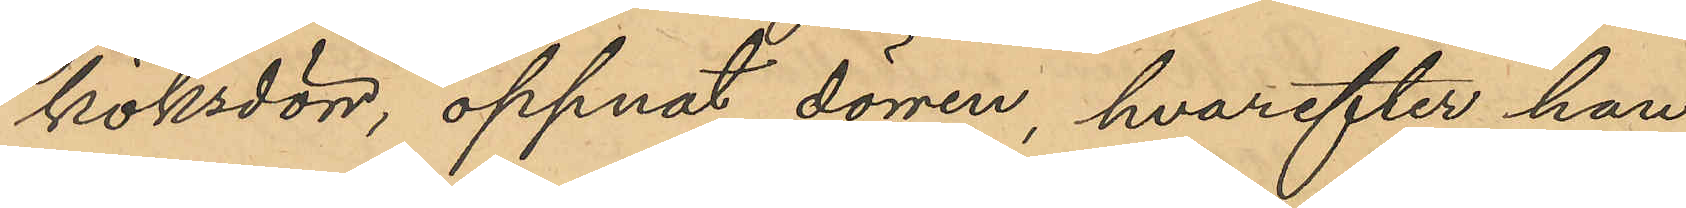köksdörr, öppnat dörren, hvarefter han
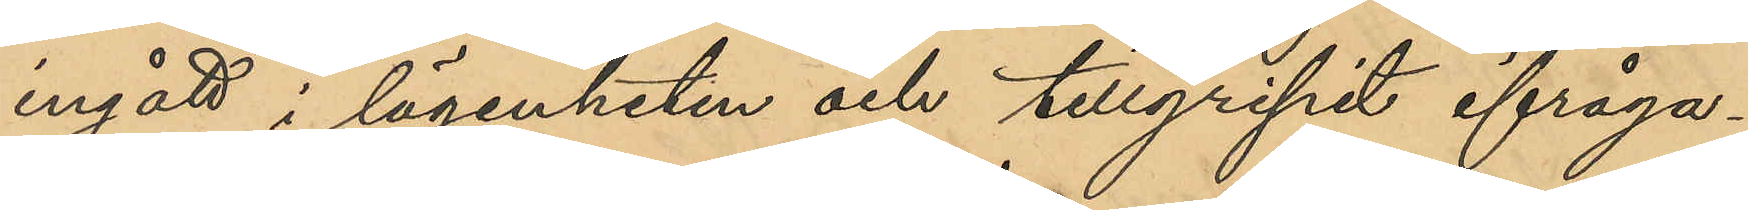ingått i lägenheten och tillgripit ifråga¬
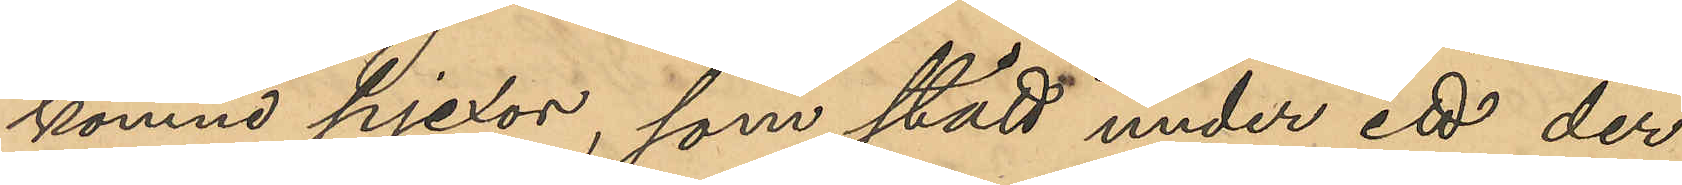komne pjexor, som stått under ett der
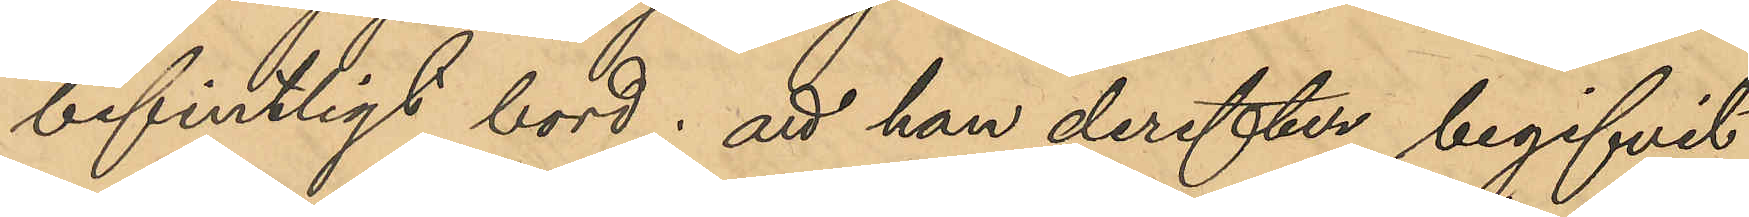befintligt bord; att han derefter begifvit
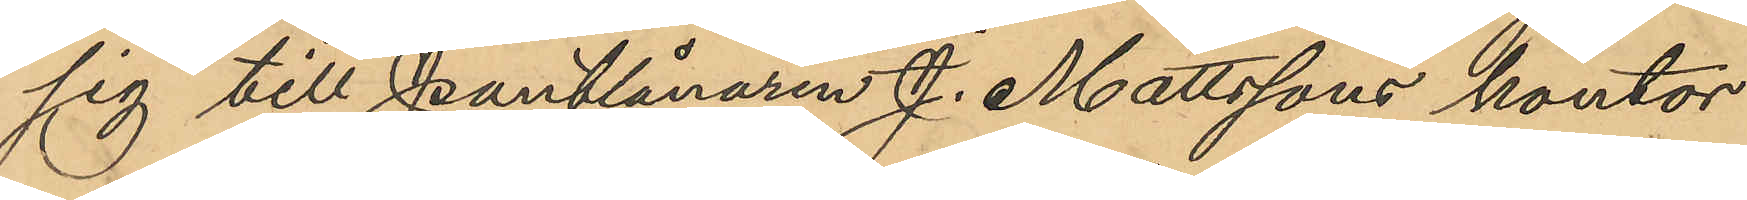sig till Pantlånaren J. Mattssons kontor
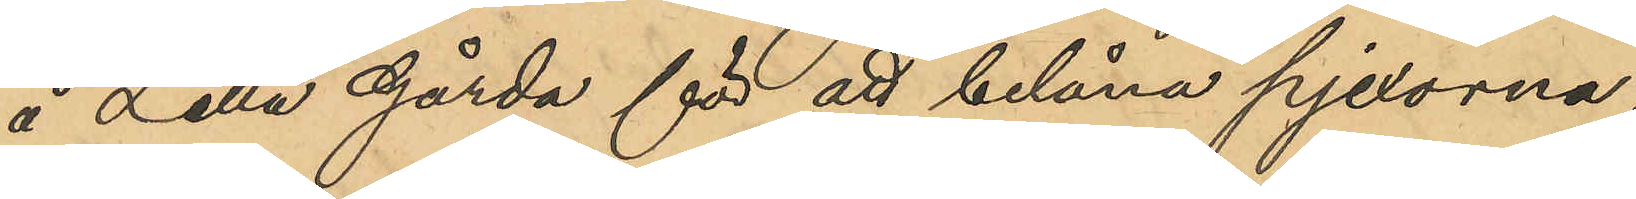å Lilla Gårda för att belåna pjexorna,
